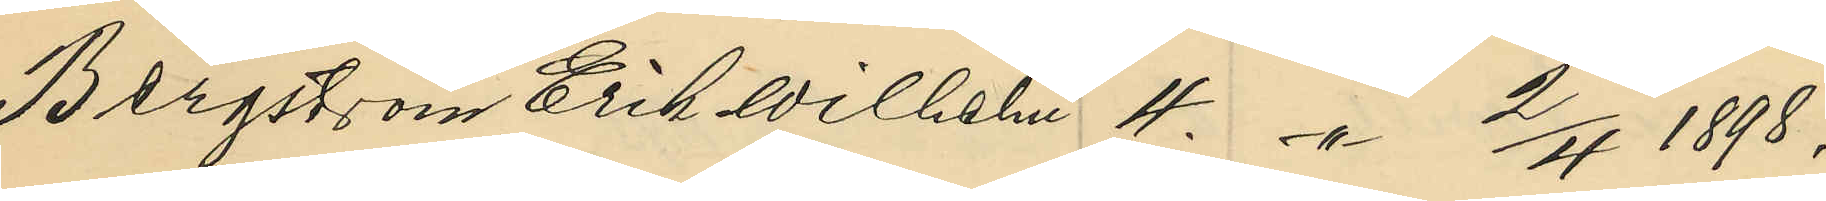Bergström Erik Wilhelm 4. -"- 2/4 1898;
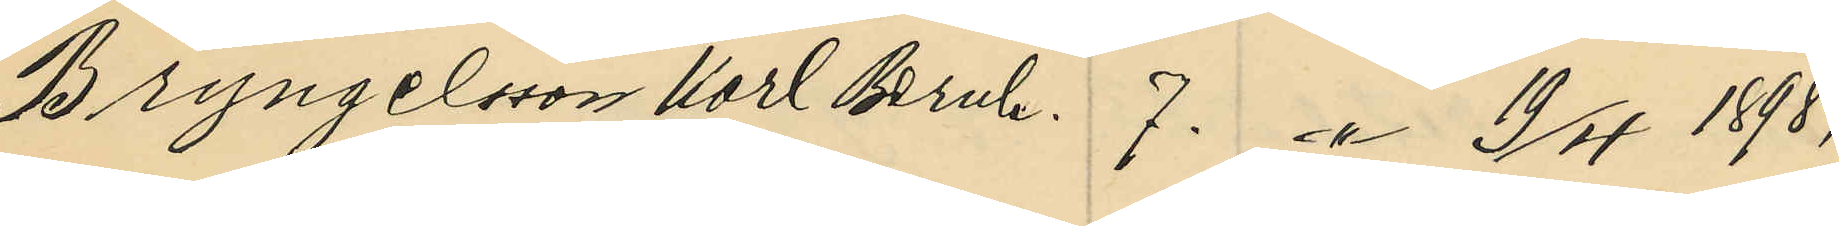Bryngelsson Karl Bernh. 7. -"- 19/4 1898;
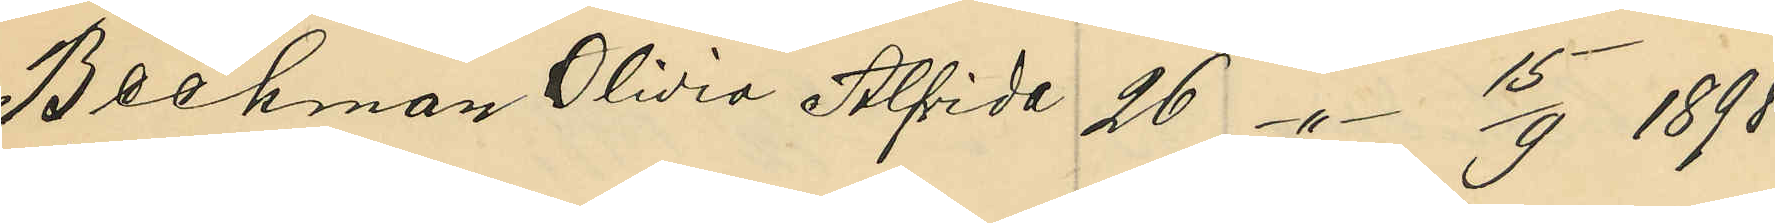Beckman Olivia Alfrida 26 -"- 15/9 1898;
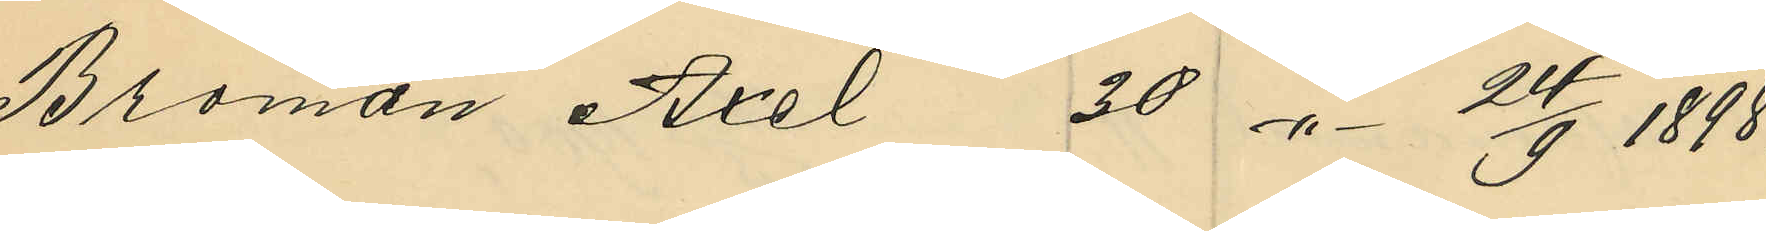Broman Axel 30 -"- 24/9 1898;
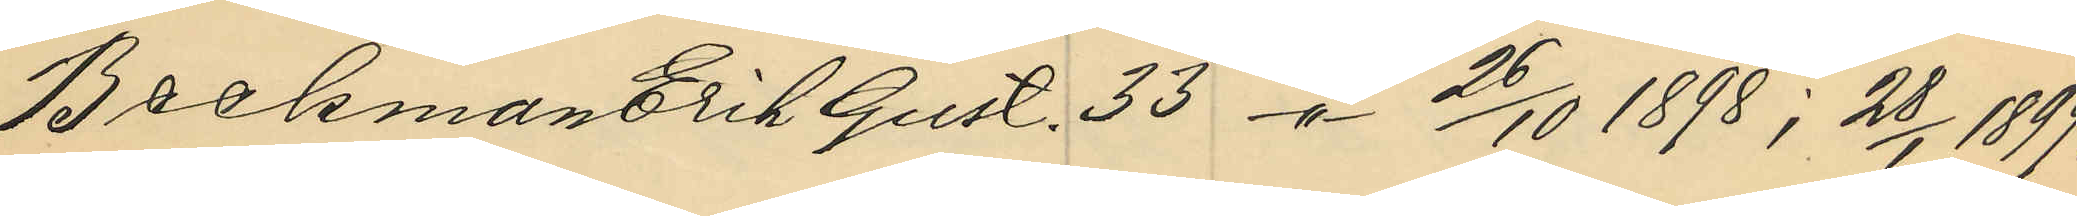Beckman Erik Gust. 33 -"- 26/10 1898; 28/1 1899;
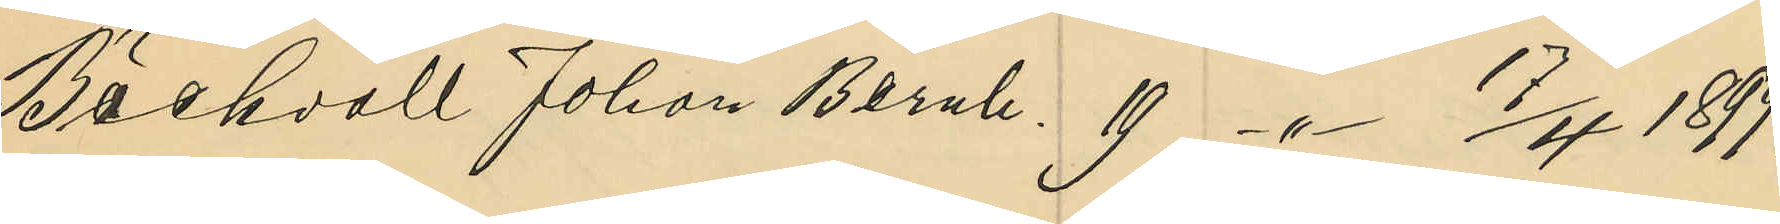Bäckvall Johan Bernh. 19 -"- 17/4 1899;
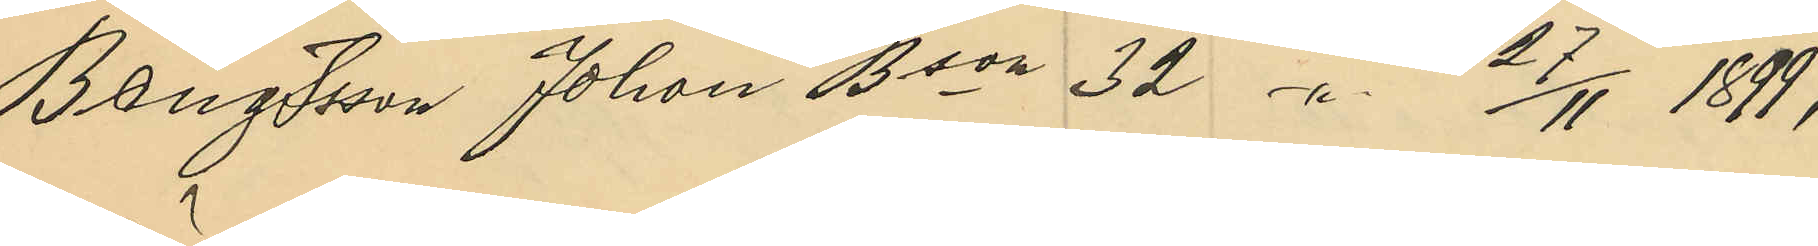Bengtsson Johan Bson 32 -"- 27/11 1899;
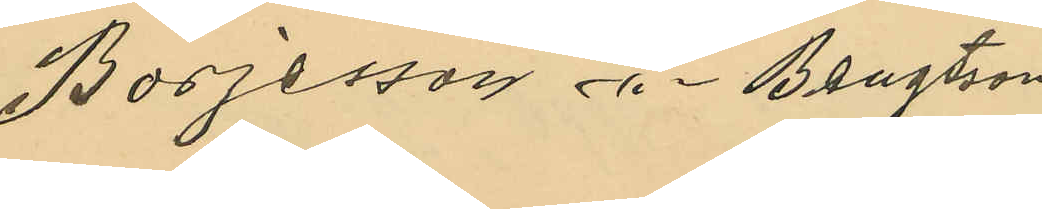Börjesson -"- Bengtsson
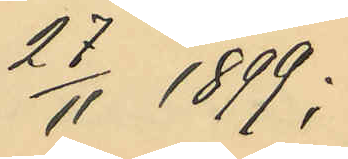27/11 1899;
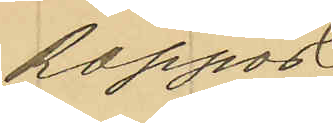Rapport
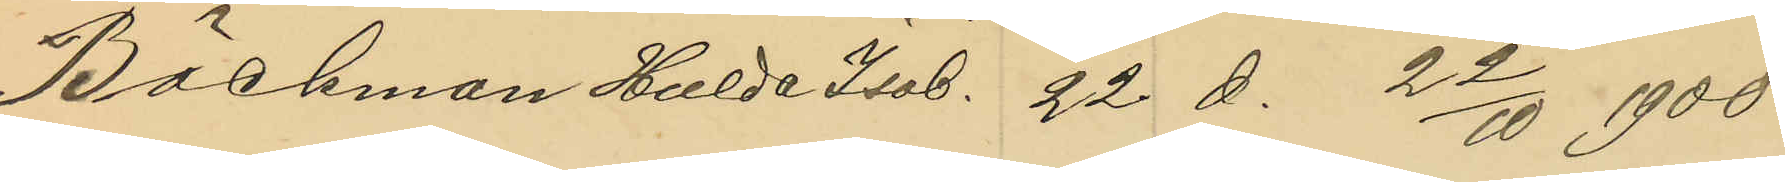Bäckman Hulda Isab. 22 d. 22/10 1900
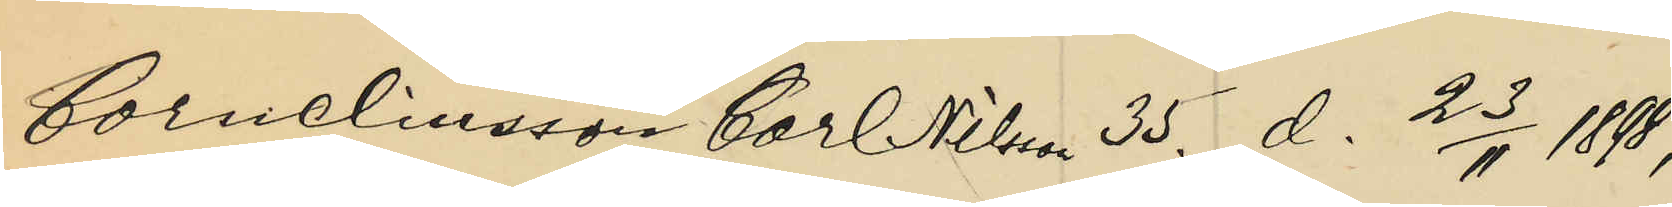Corneliusson Carl Nilsson 35. d. 23/11 1898;
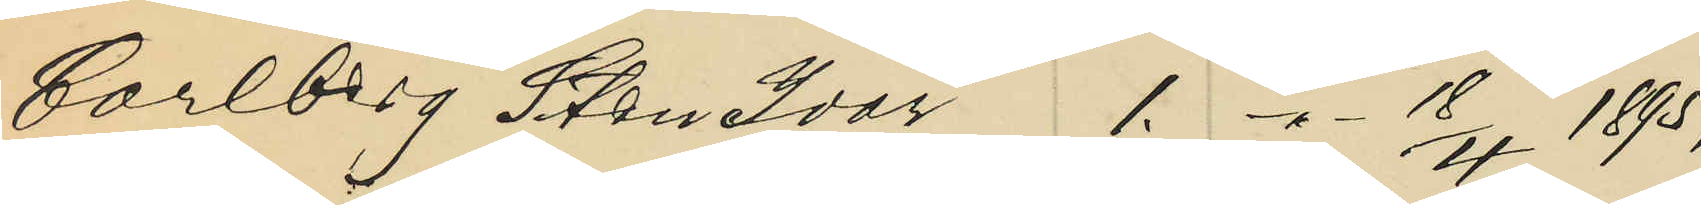Carlberg Sten Ivar 1. -"- 18/4 1895;
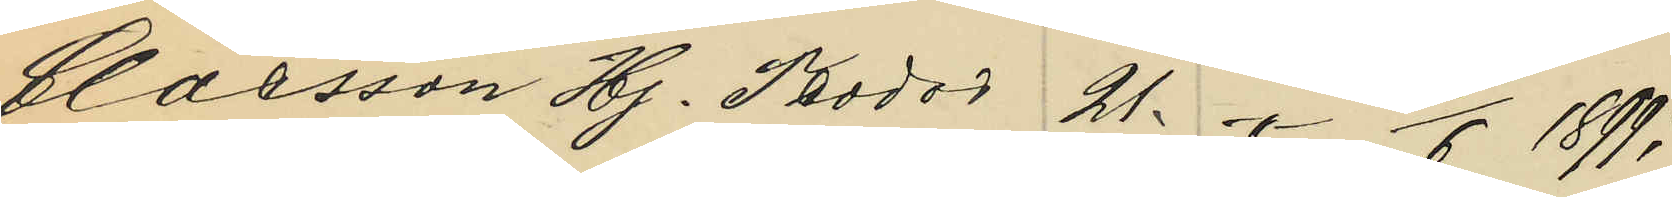Claesson Hj. Teodor 21. -"- 16/6 1899;
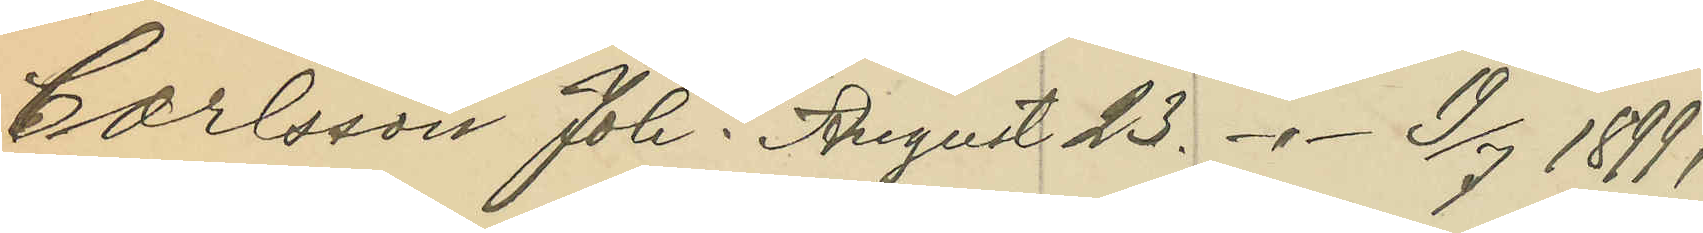Carlsson Joh. August 23. -"- 19/7 1899;
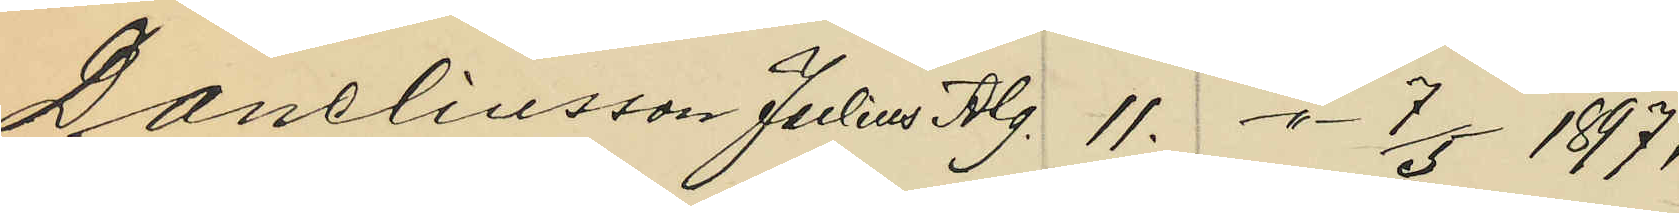Daneliusson Julius Alg. 11. -"- 7/5 1897.
